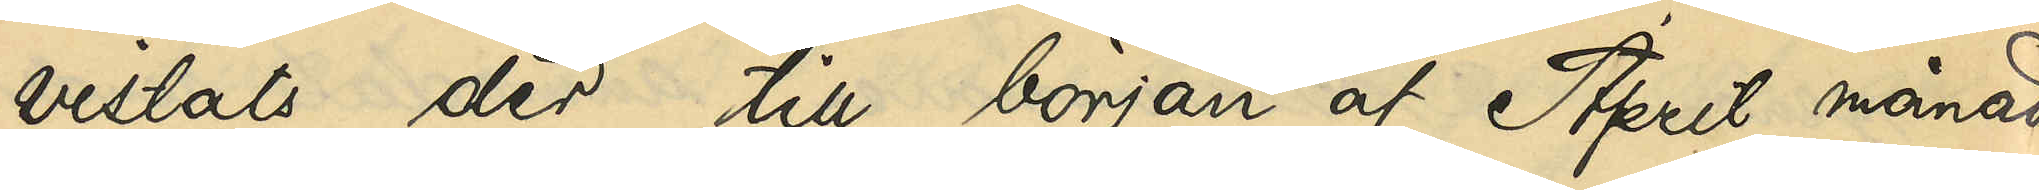vistats der till början af April månad
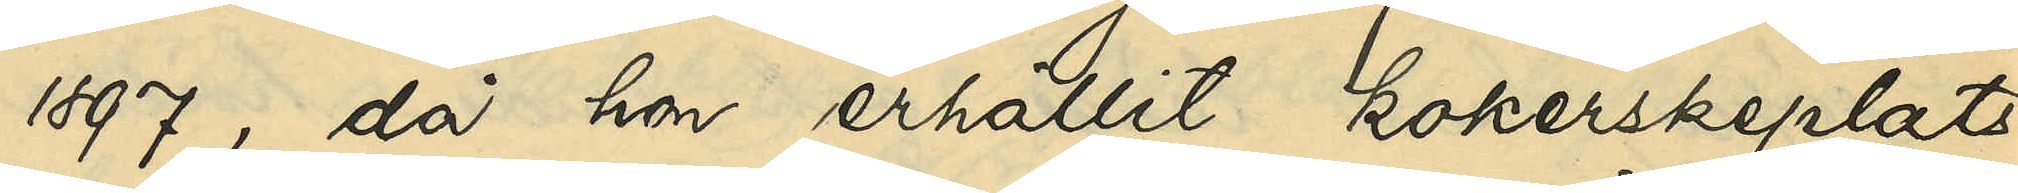1897, då hon erhållit kokerskeplats
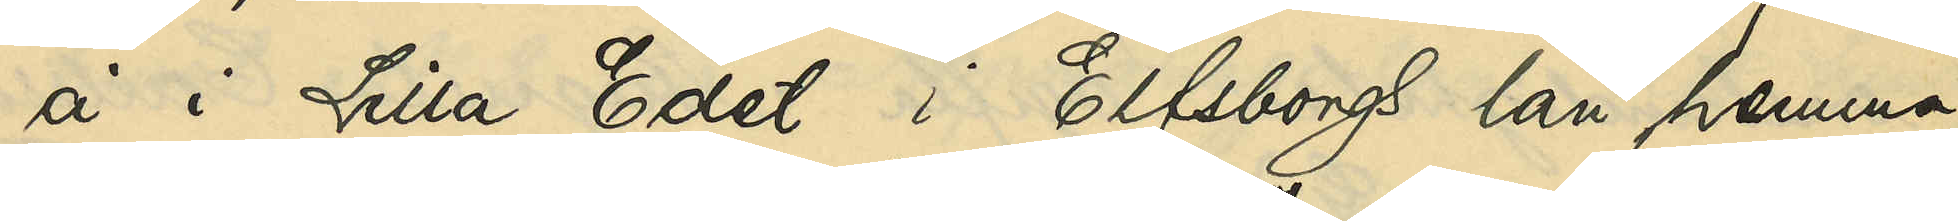å i Lilla Edet i Elfsborgs län hemma¬
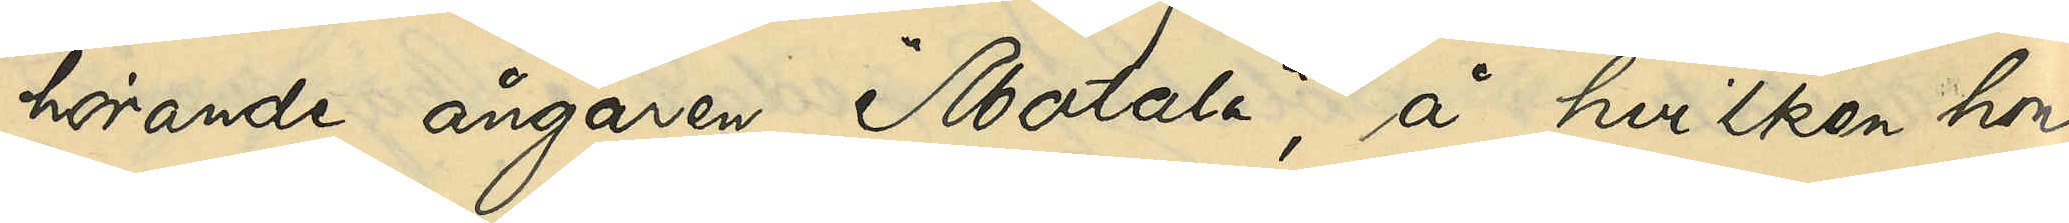hörande ångaren "Motala", å hvilken hon
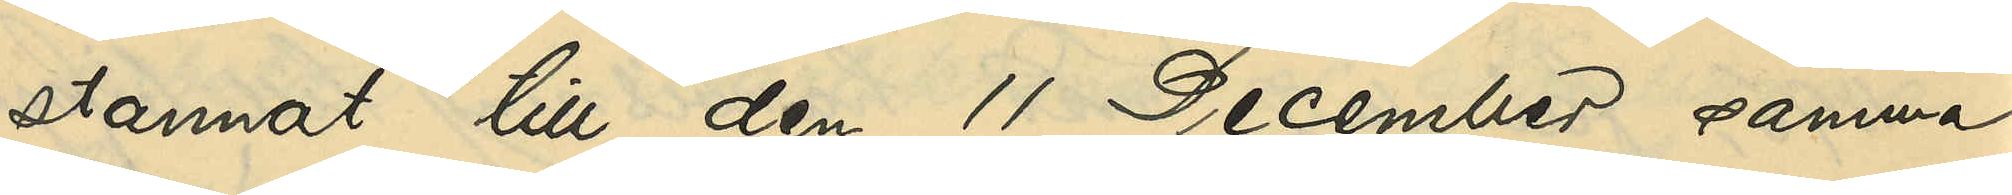stannat till den 11 December samma
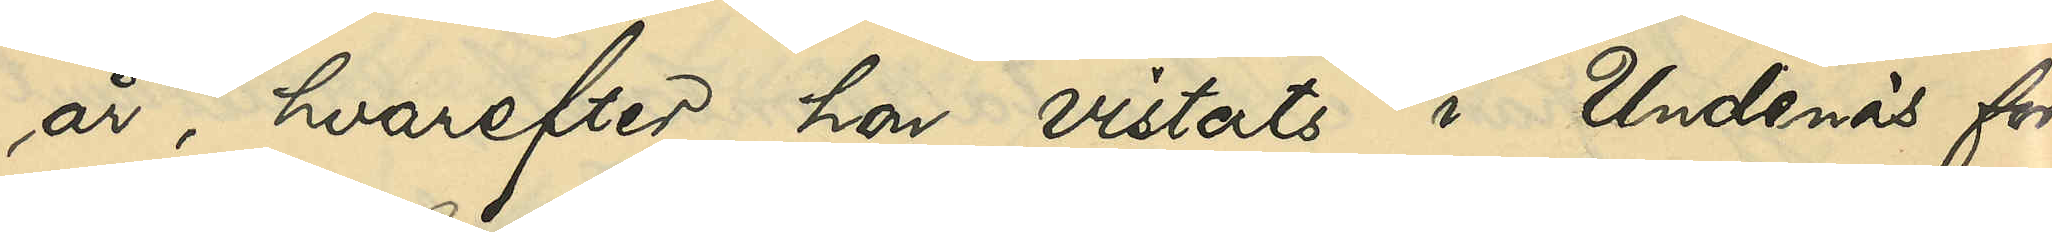år, hvarefter hon vistats i Undenäs för¬
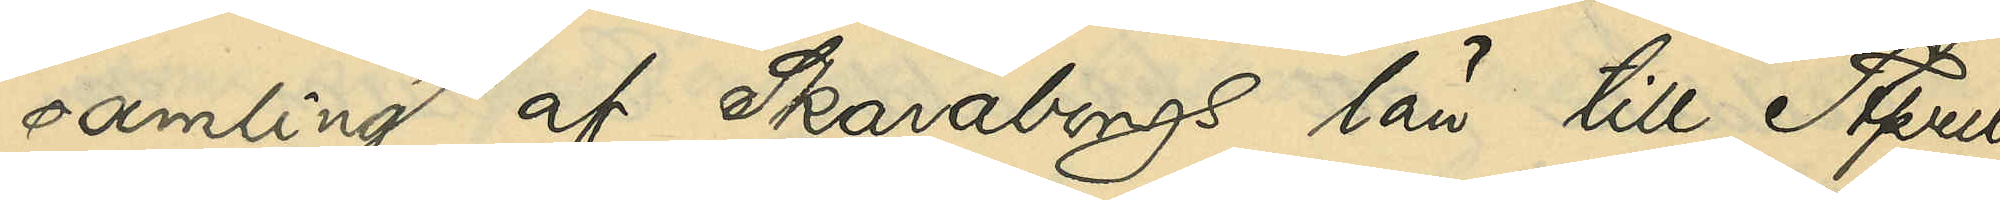samling af Skaraborgs län till April
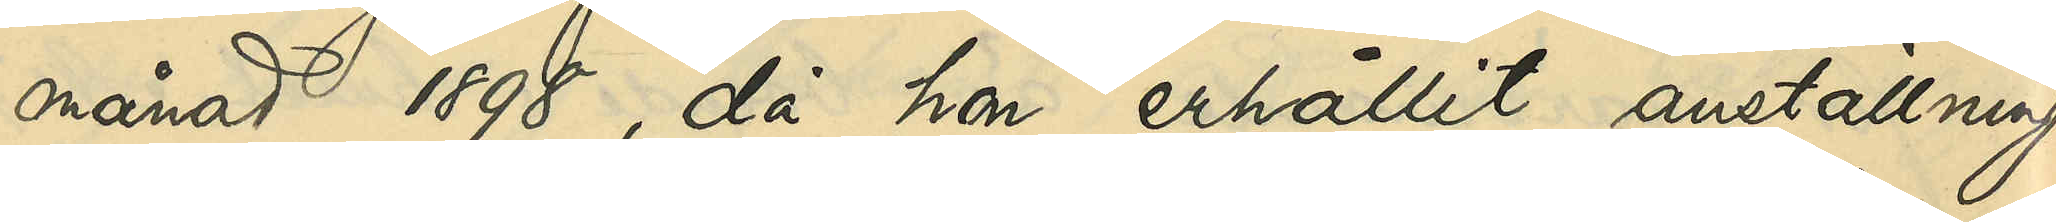månad 1898, då hon erhållit anställning
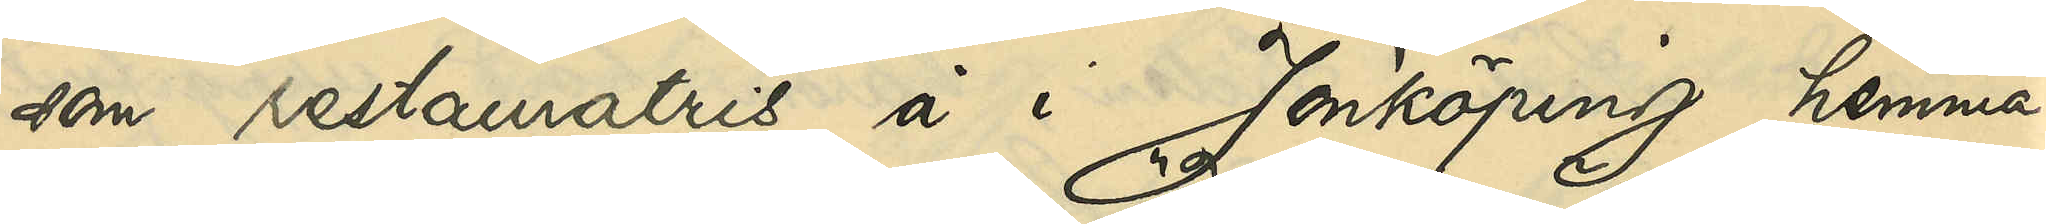som restauratris å i Jönköping hemma¬
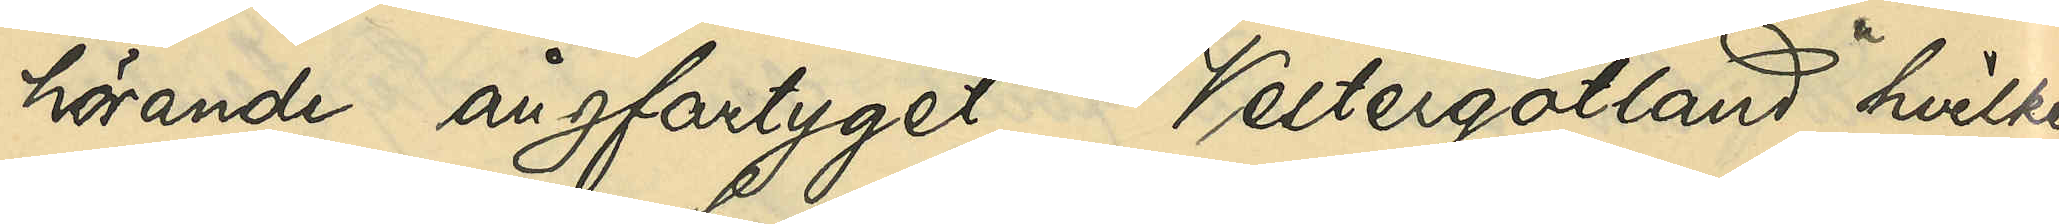hörande ångfartyget "Vestergötland", hvilken
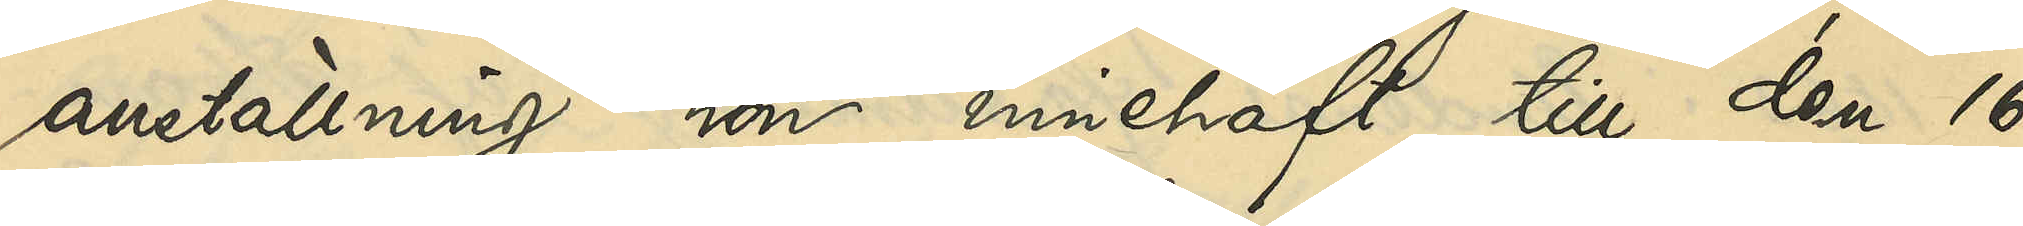anställning hon innehaft till den 16
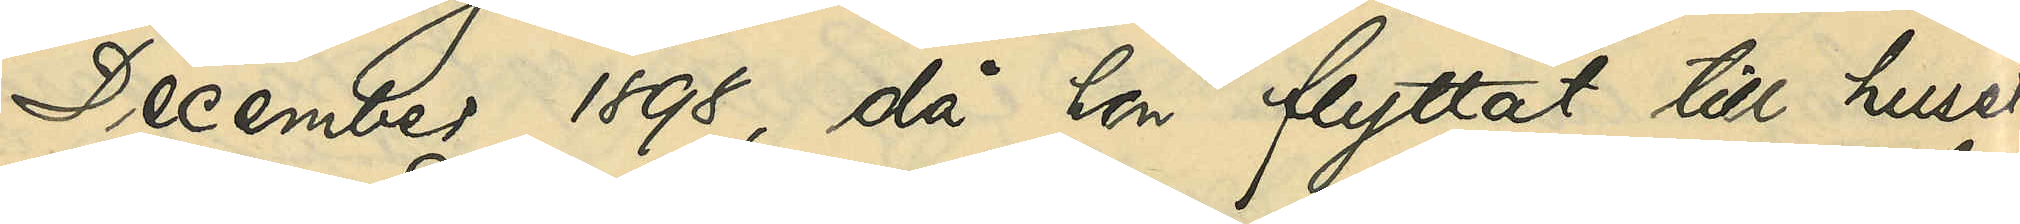December 1898, då hon flyttat till huset
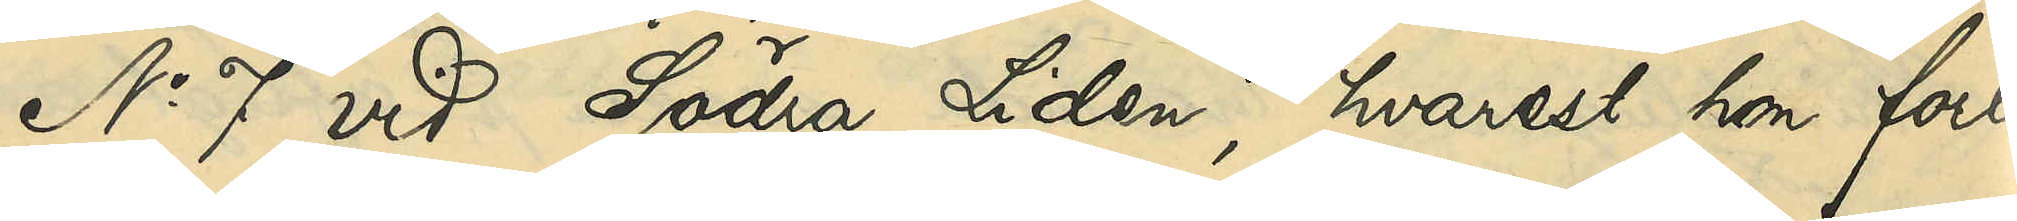No 7 vid Södra Liden, hvarest hon fort¬
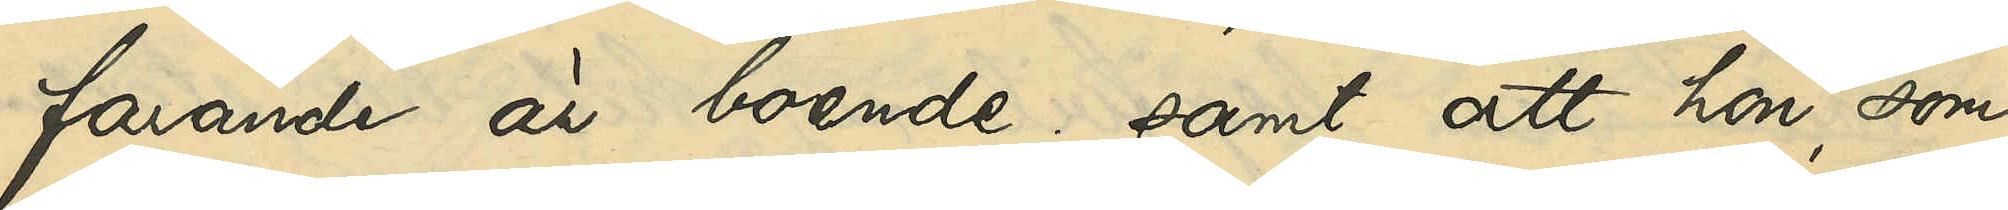farande är boende; samt att hon, som
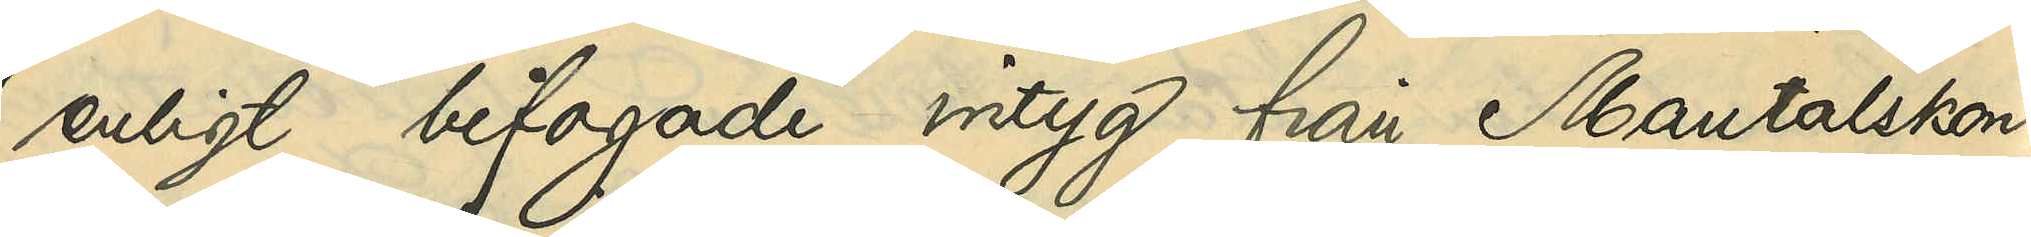enligt bifogade intyg från Mantalskon¬
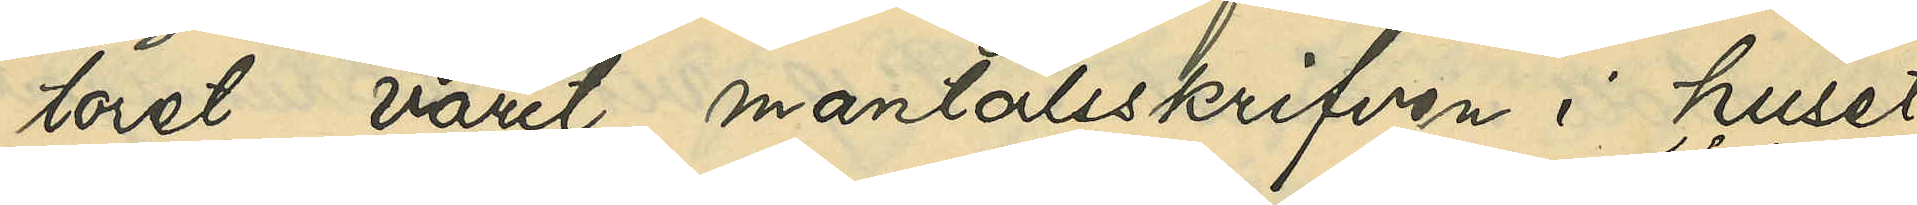toret varit mantalsskrifven i huset
